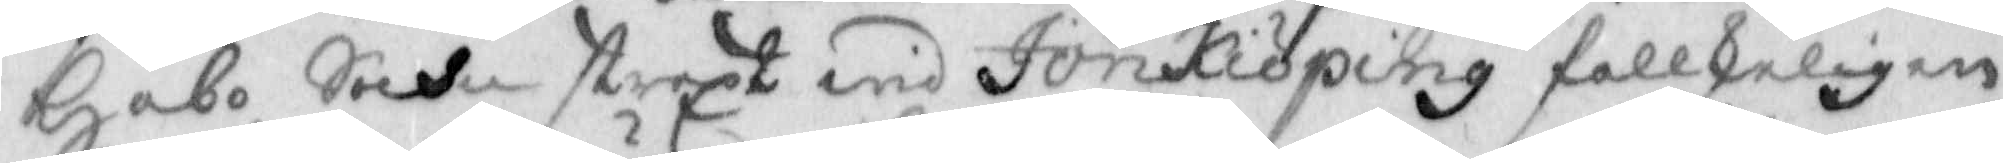Habo Sochn straxt wid Jönkiöping fallskeligen
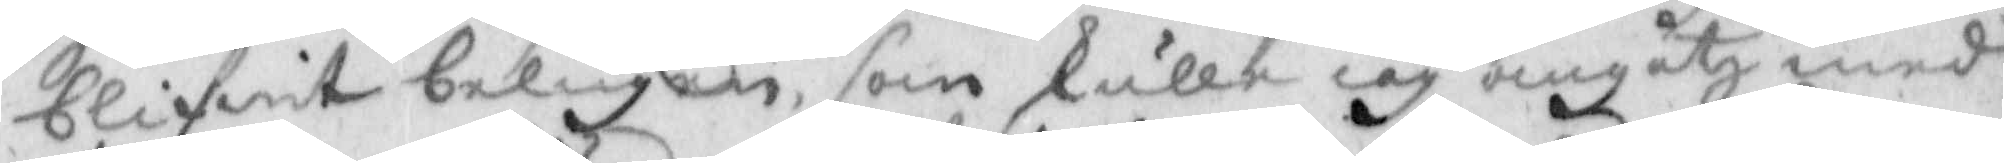blifwit belugen, som skulle iag umgåtz med
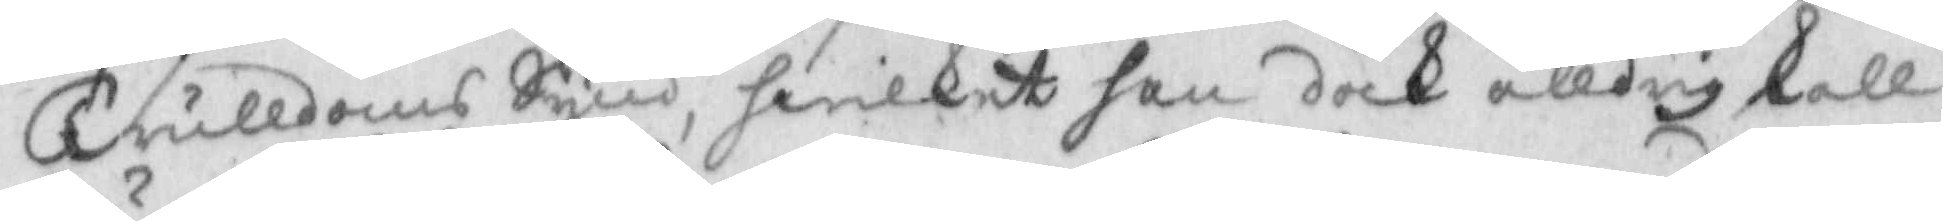Trulldoms Synd, Hwilket han dock alldrig skall
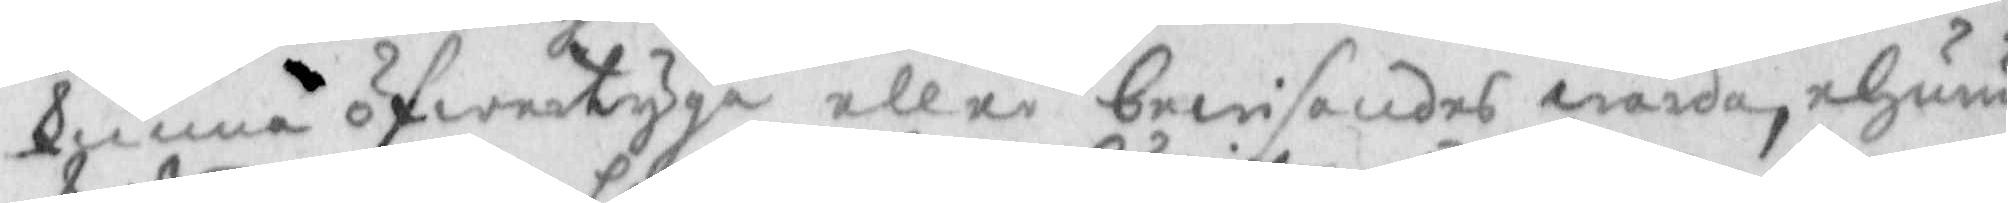kunna öfwertyga eller bewisandes warda, ehuru
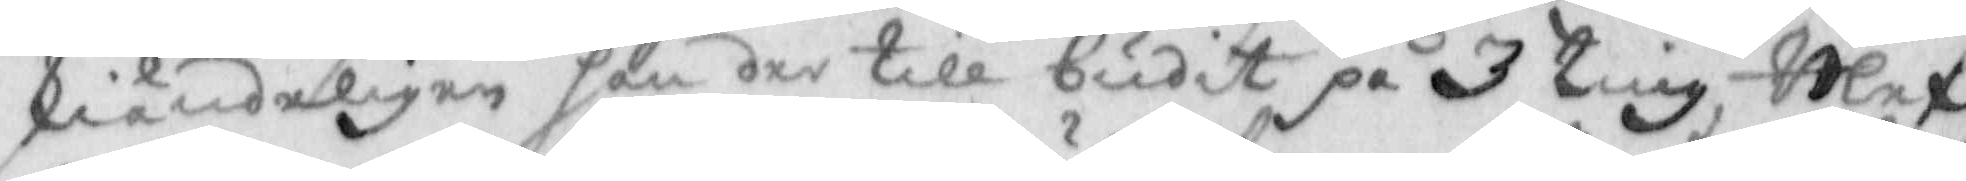skiändeöigen han der till budit på 3 ting, Blef
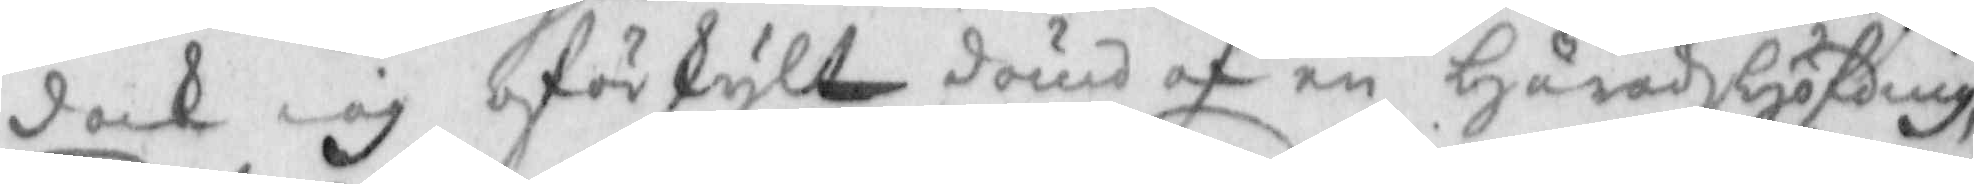dock iag oförskylt dömd af en HäradsHöfding
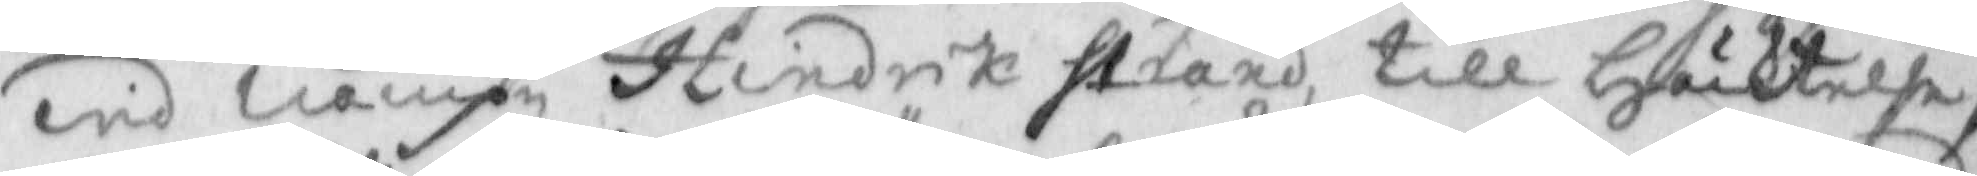wid nampn Hindrik Strand, till Häcktelse,
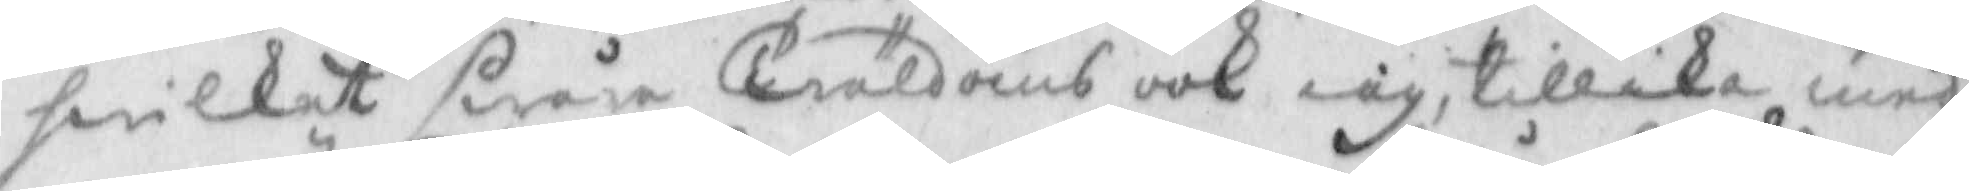hwilket swåra Träldoms ook iag, tillika med
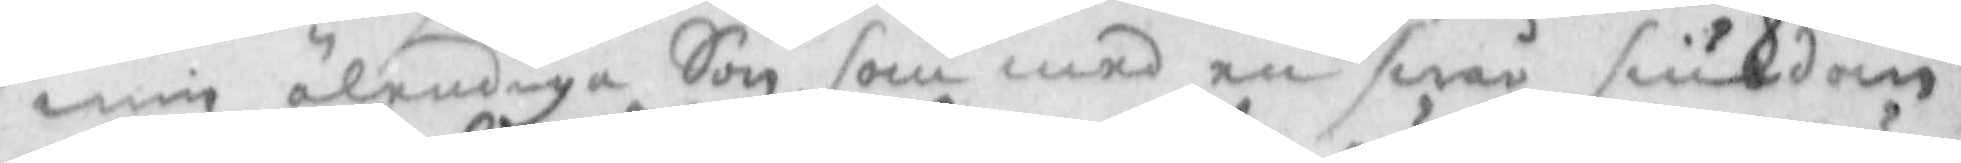min älendiga Son, som med en swår siukdom
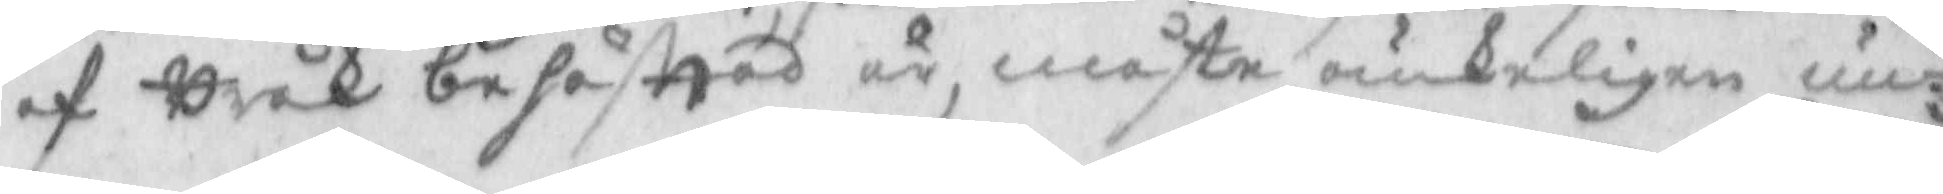af Bråk behäfttad är, måste oukeligen un¬
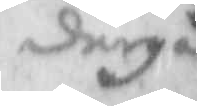dergå
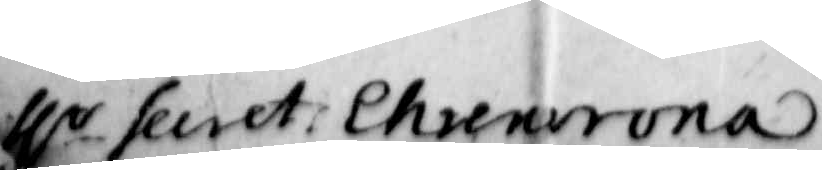Hr Secret: Ehrencrona
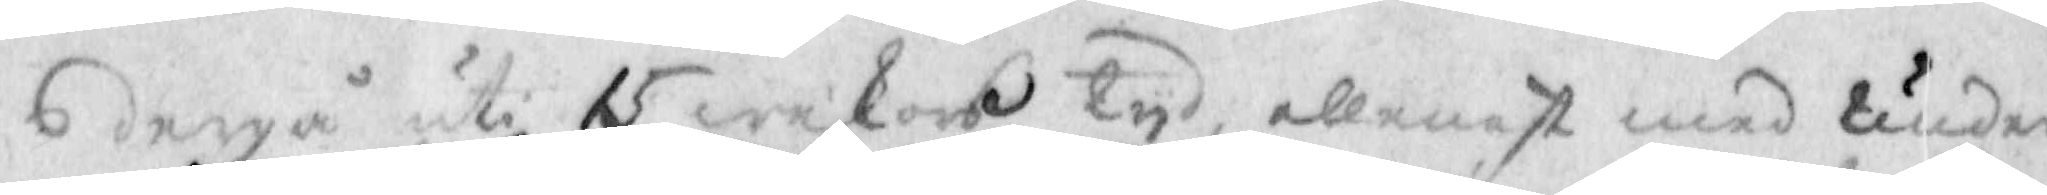dergå uti 15 wekors tyd, allenast med under¬
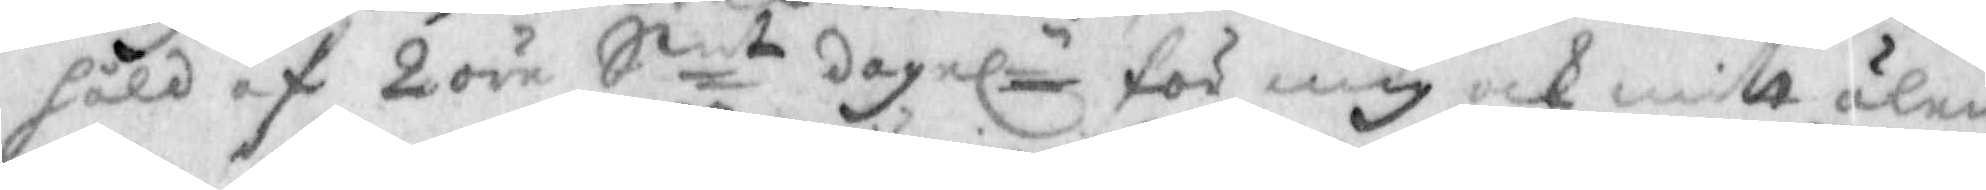håld af 2 öre Smt dagel.n för mig och mitt älen¬
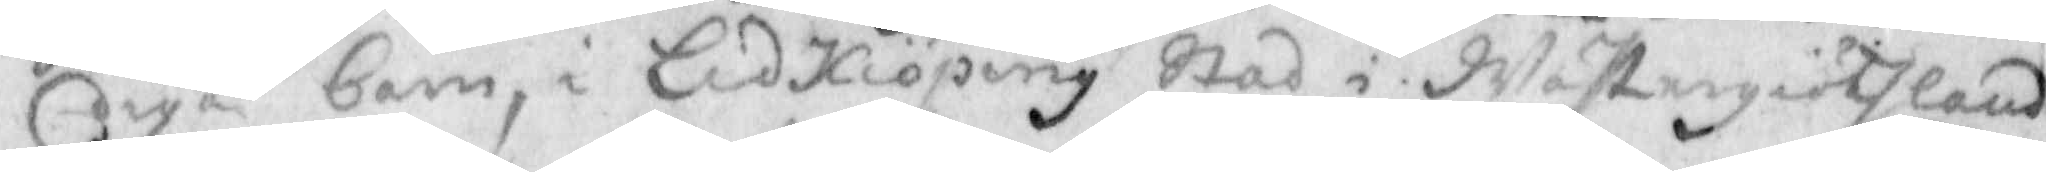diga barn, i Lidkiöping stad i Wästergiöthland.
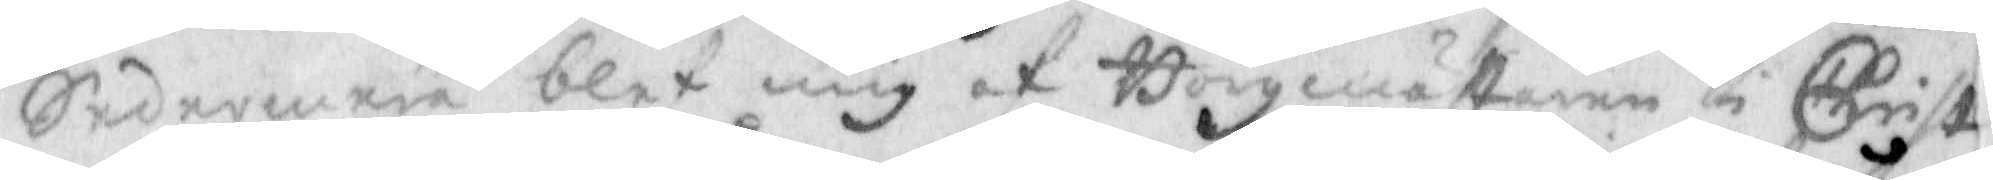Sedermera blef mig af Borgmästaren i Christi¬
